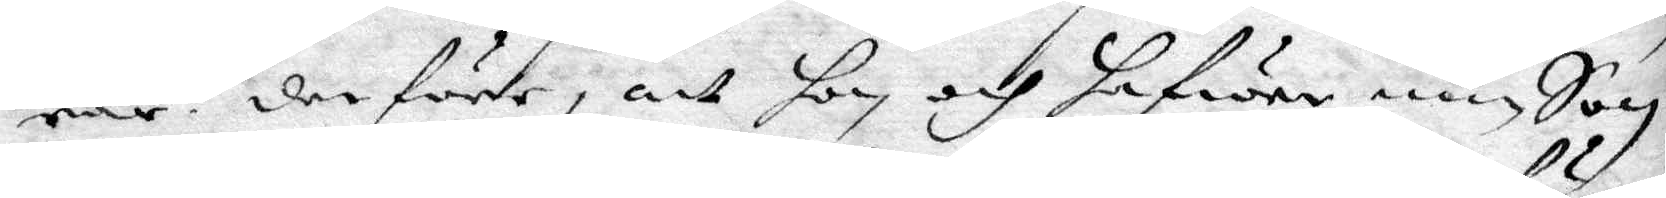rar: derföre, att hon och hafwer min Son
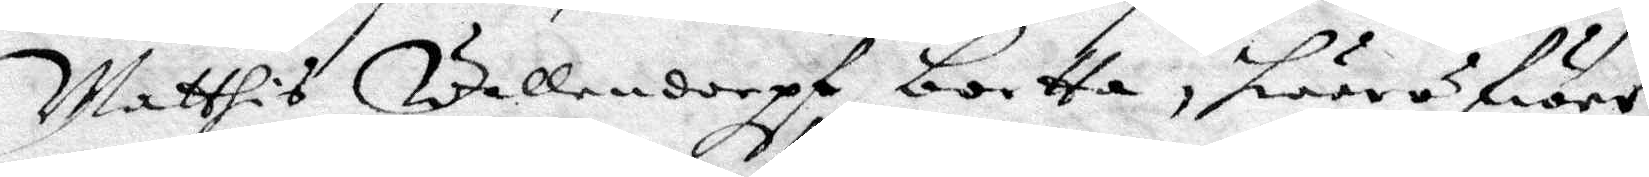Matthis Wallendorpf bortta, hwaröfwer
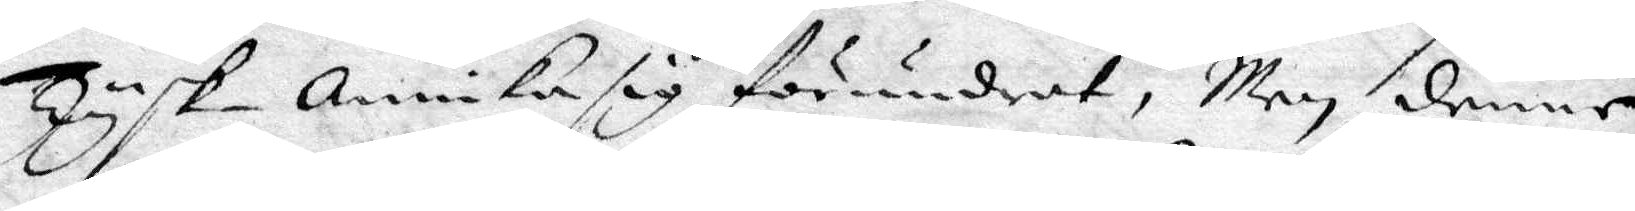Tysk-Annika sig förundrat, Men denne
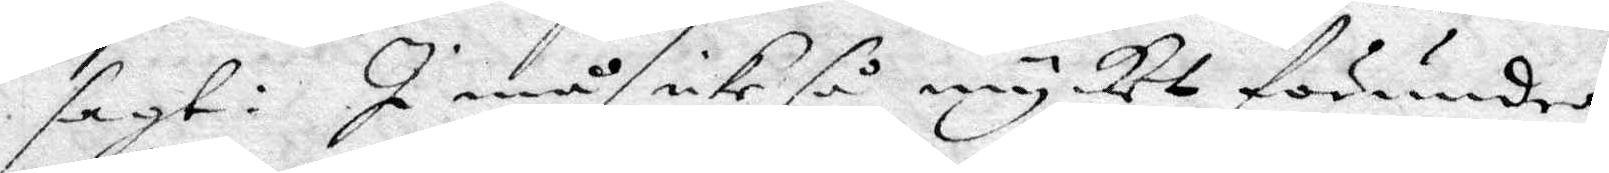sagt: I Må icke så mycket förundra
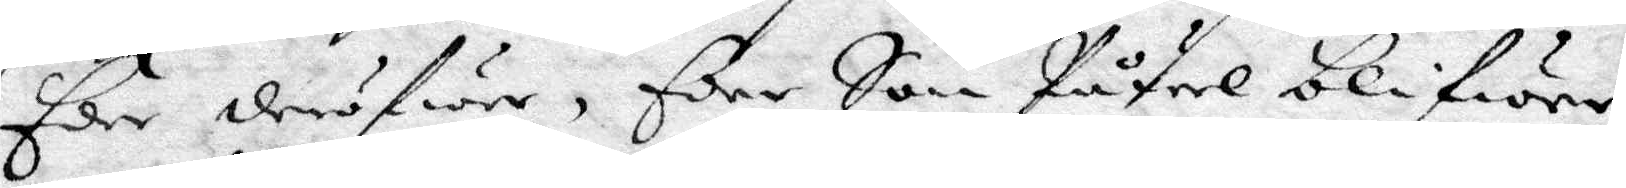Eder derföre, Eder Son Påfwel blifwer
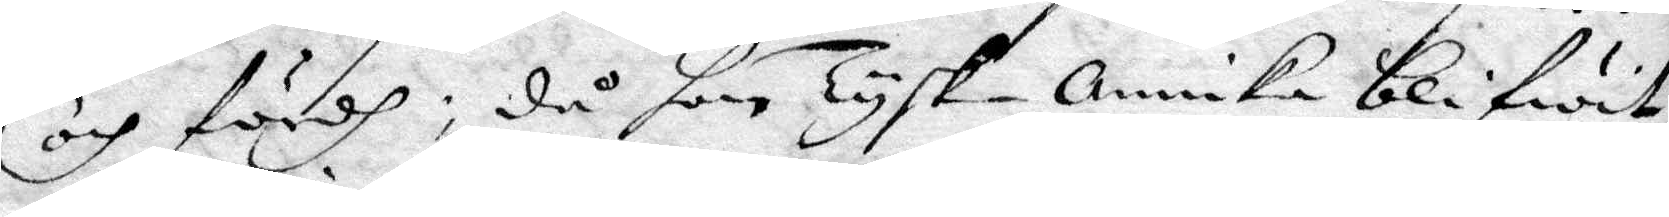och fördh; då hon Tysk-Annika blifwit
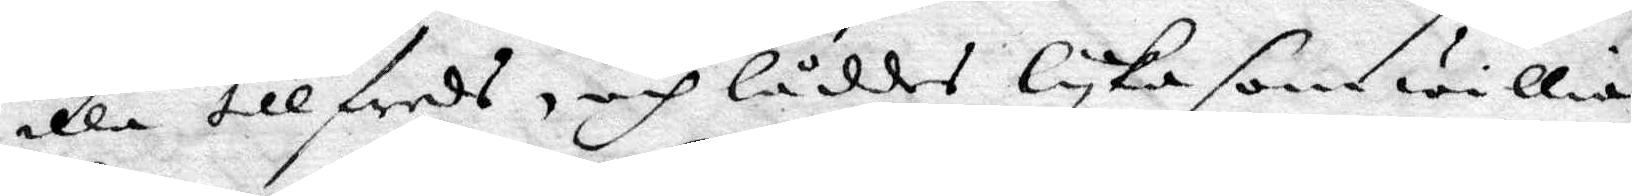illa till freds, och låddes lyka som willia
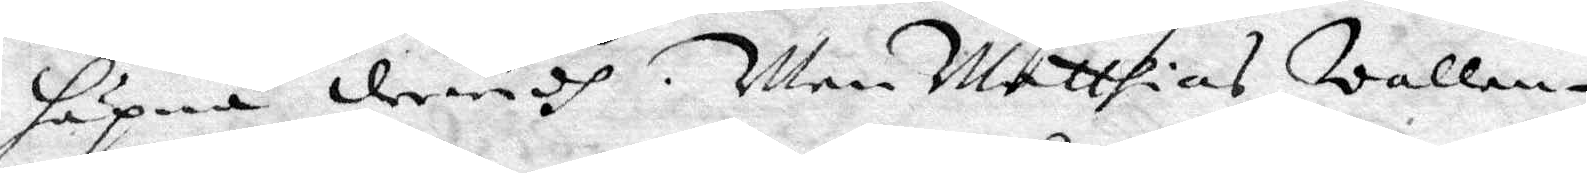häpna derwidh. Men Matthias Wallen¬
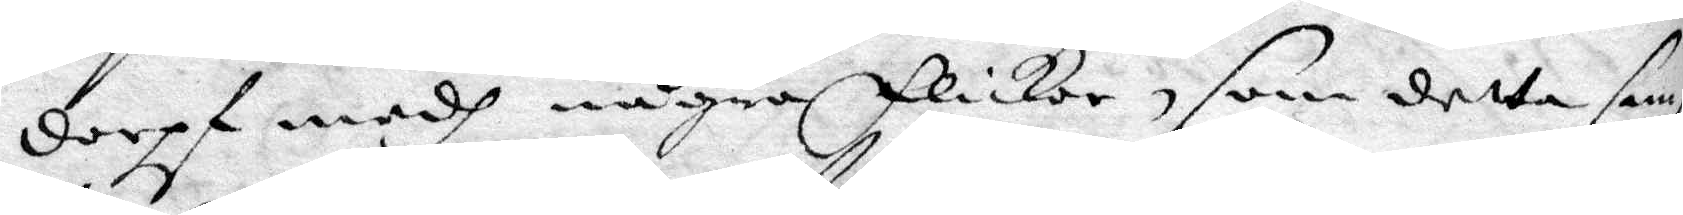dorpf medh några flickor, som detta sam¬
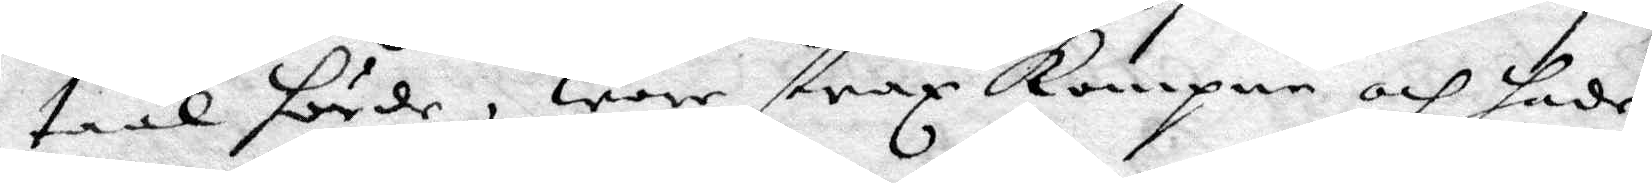taal hörde, war strax Kompne och hade
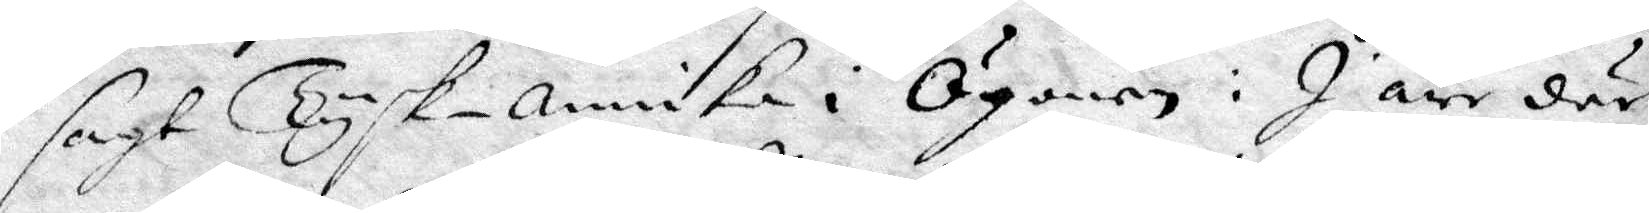sagt Tysk- Annika i Ögonen: I äre där
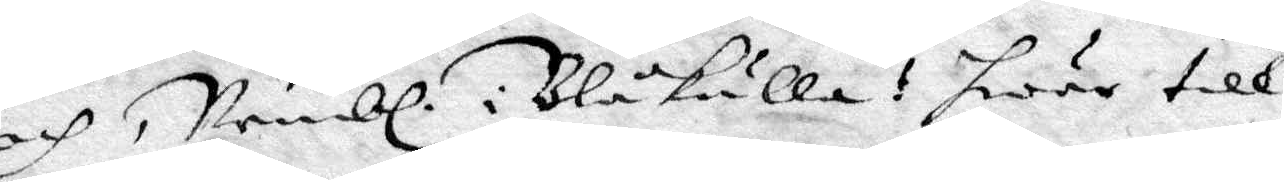och, Nembl. i Blåkulla! hwar till 
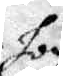hon
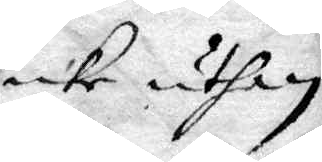icke uthan 
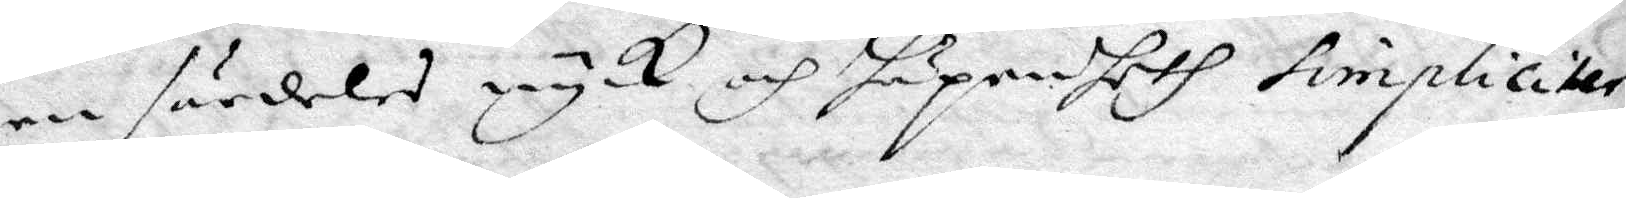en särdeles nyck och häpenheth simpliciter
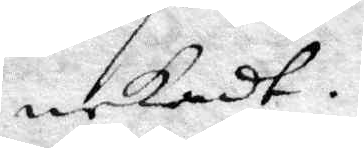nekadt.
